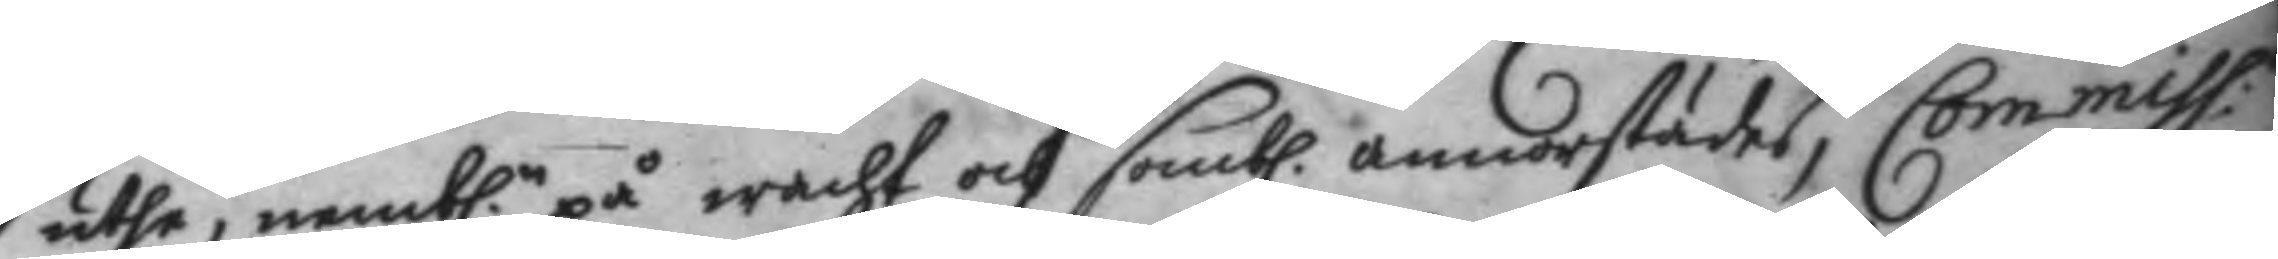uthe, nemb.n på wacht och somb. annorstädes, Commiss.n
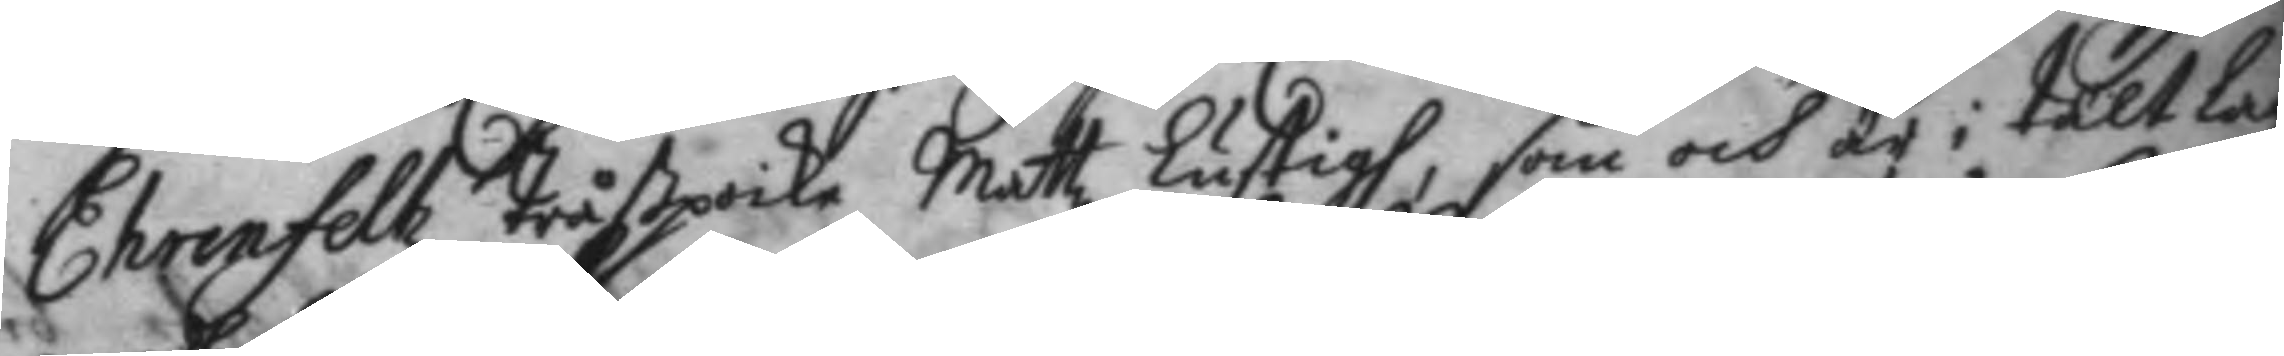Ehrenfeltz tråßpoike Mattz Lustigh, som och är i tältlag
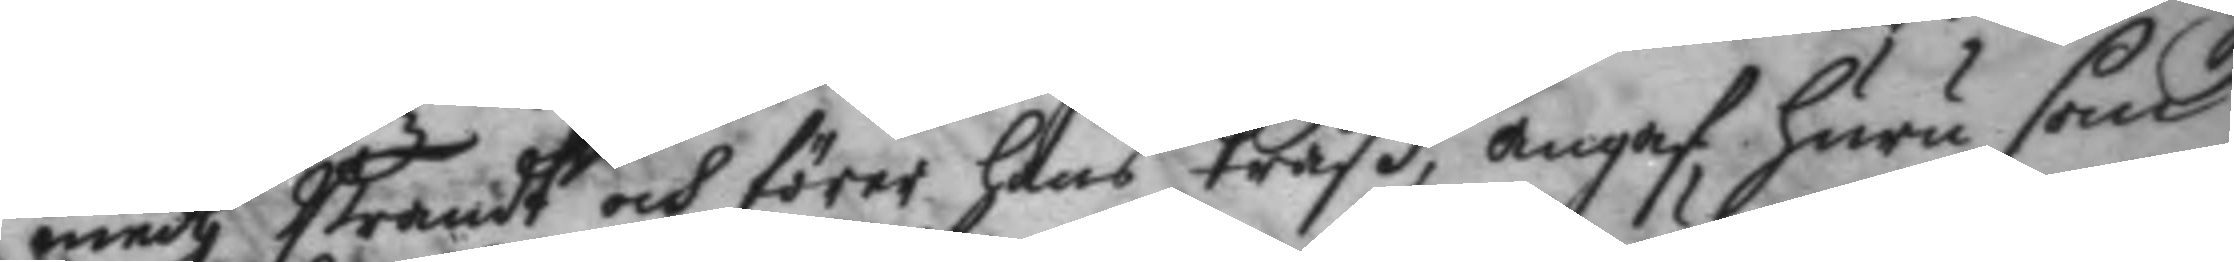medh Brandt och förer hans tråß, angaf huru som
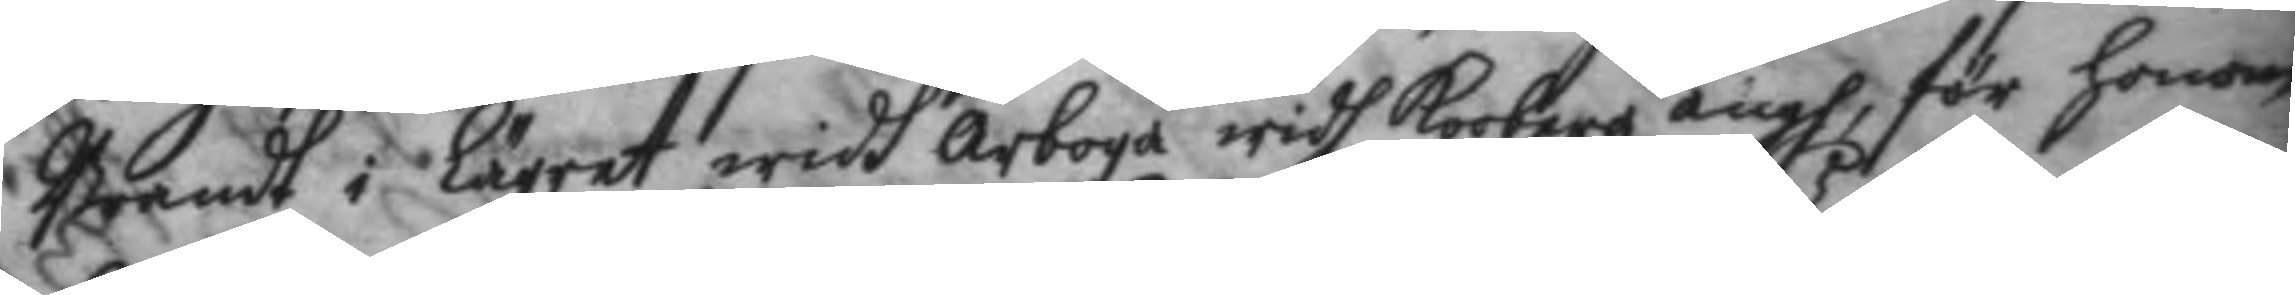Brandt i Lägret widh Arboga widh Roobergz ängh, för honom
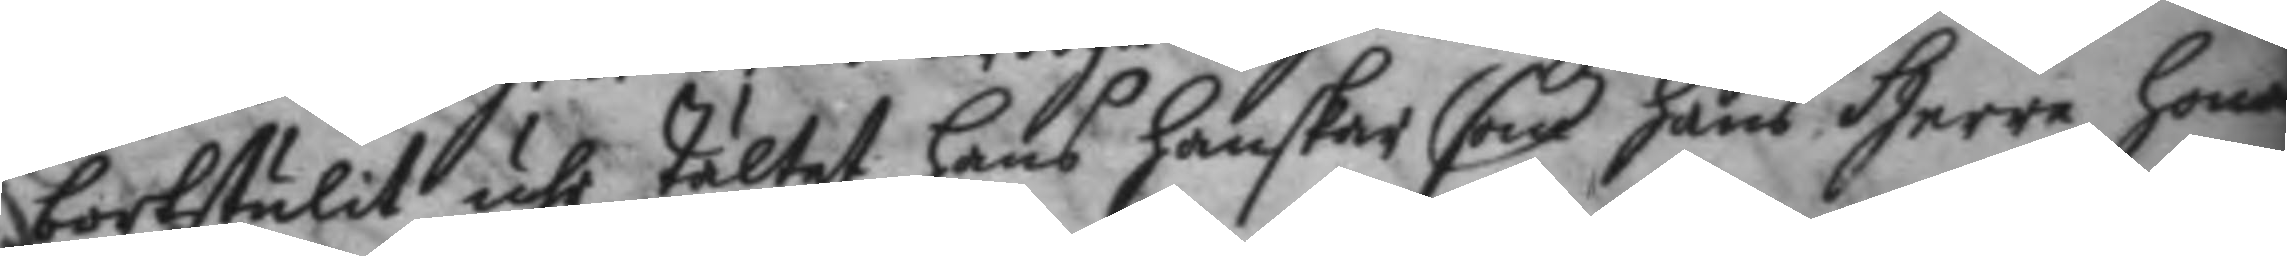bortstulit uti tältet hans hanskar som hans Herre honom
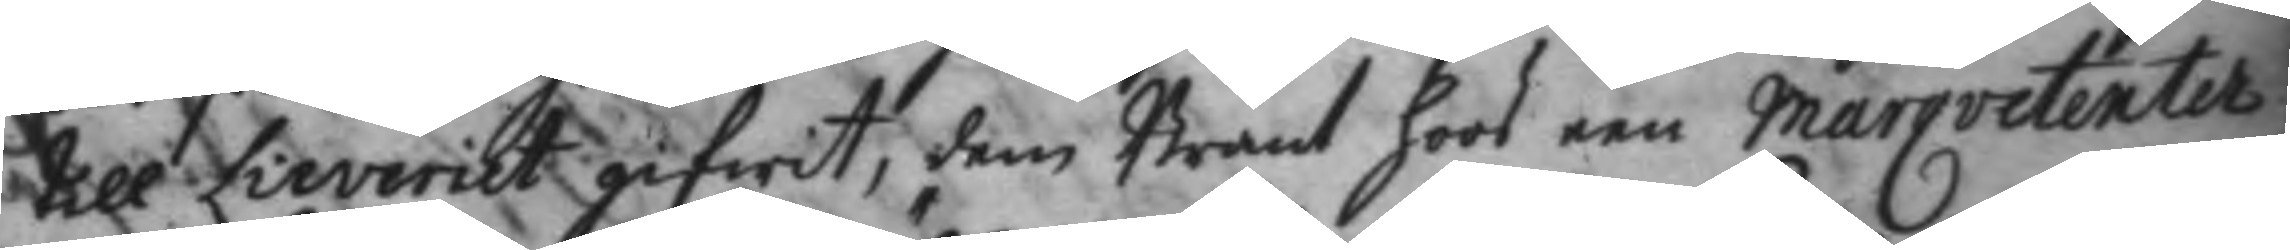till Lieveriet gifwit, dem Brant hoos een Marqvetenter
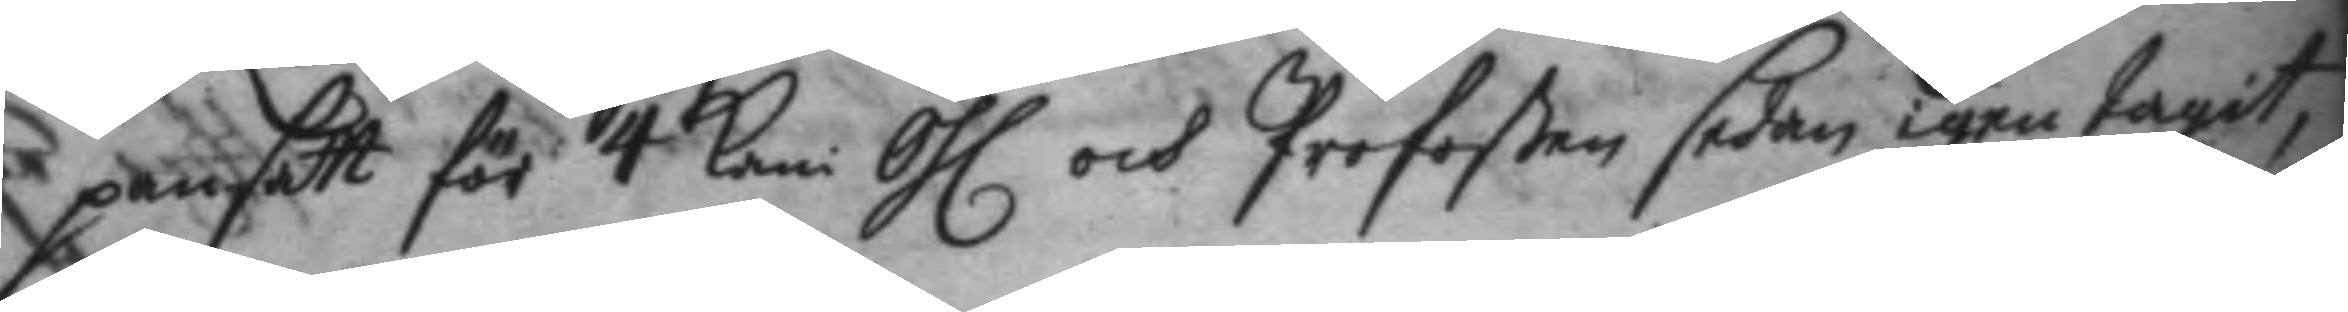pantsatt för 4 kani Öhl och Profoßen sedan igen tagit,
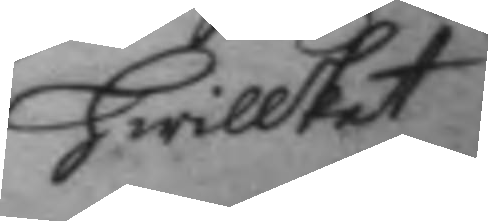hwilket
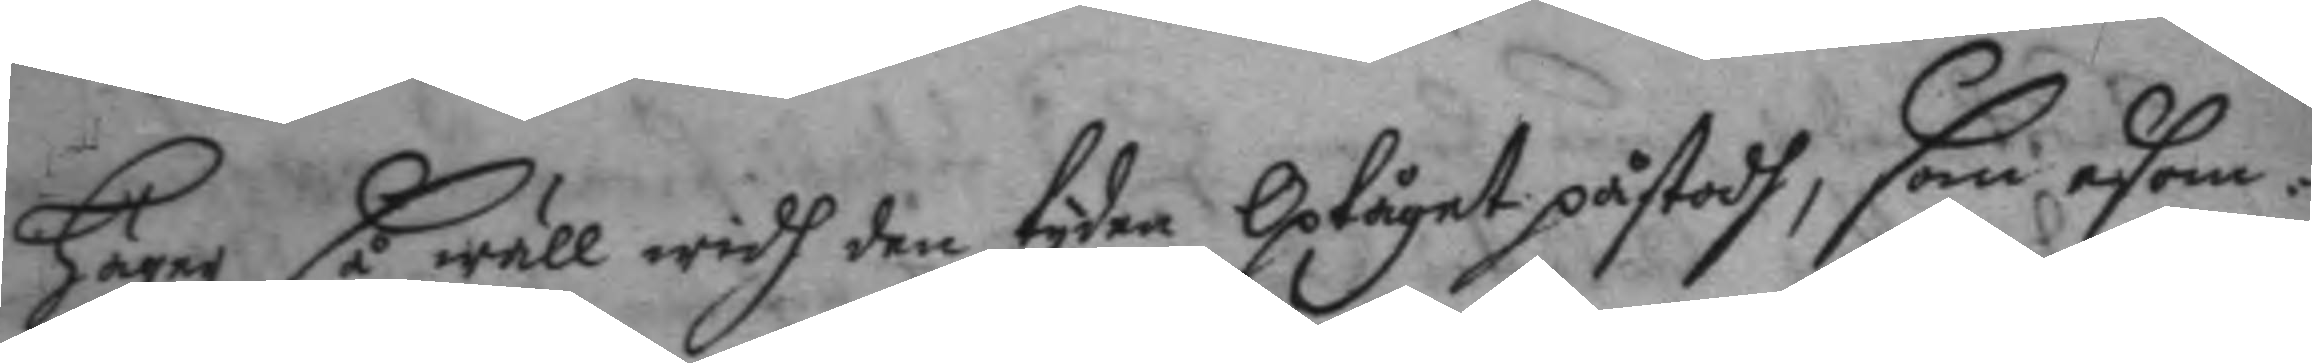Häger så wäll widh den tyden Optåget påstodh, som asom¬
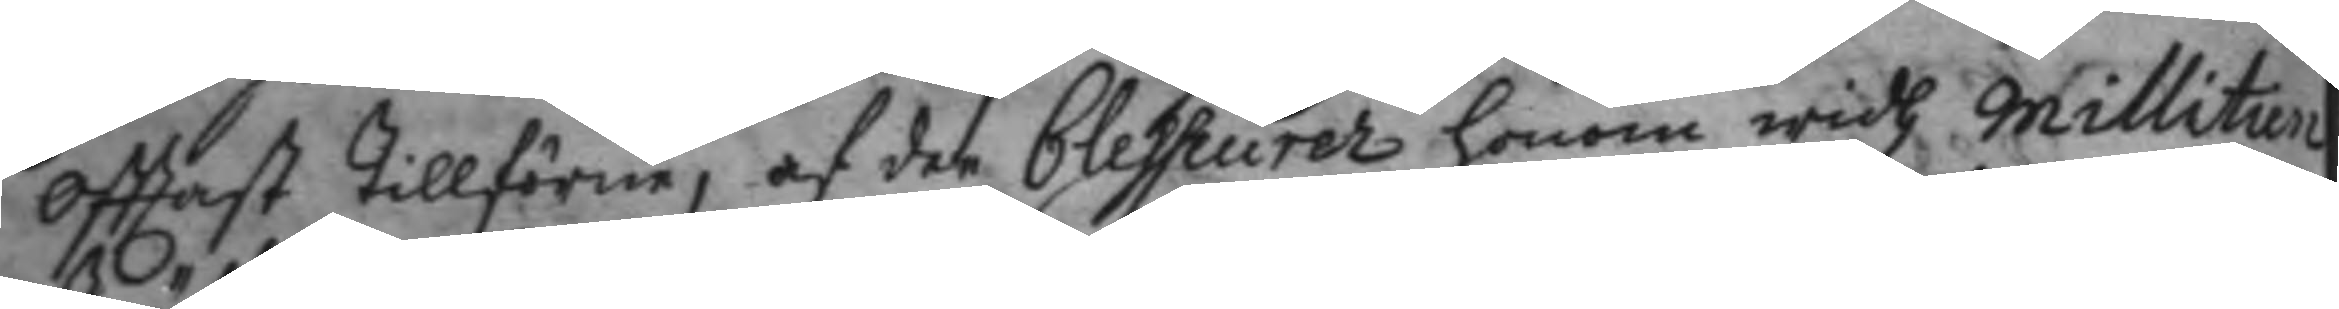Ofttast tillförne, af den belsseurer honom widh millitien
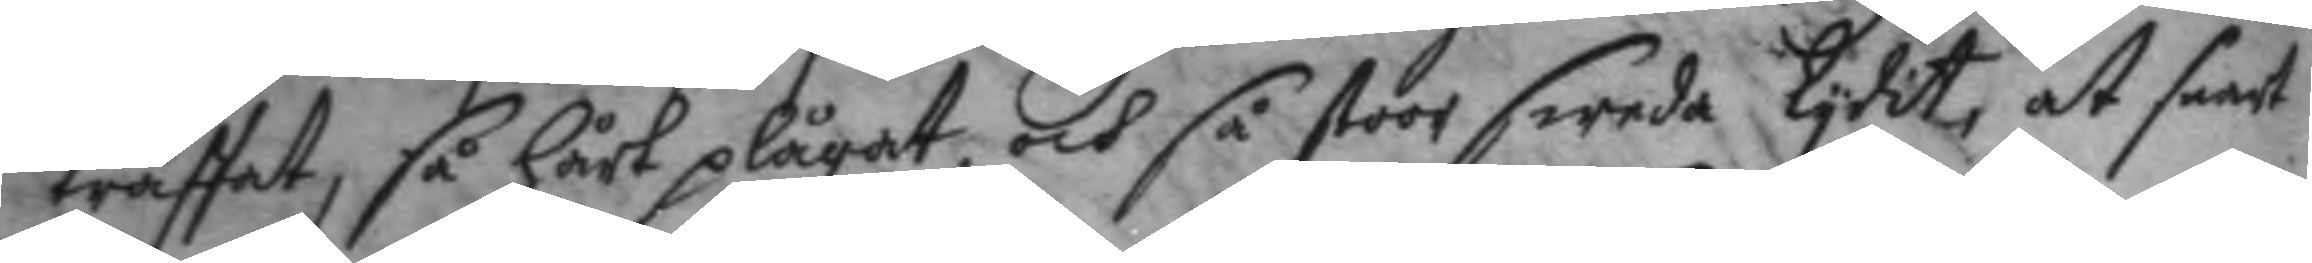träffat, så Hårt plågat, och så stoor sweda lydit, at sandt
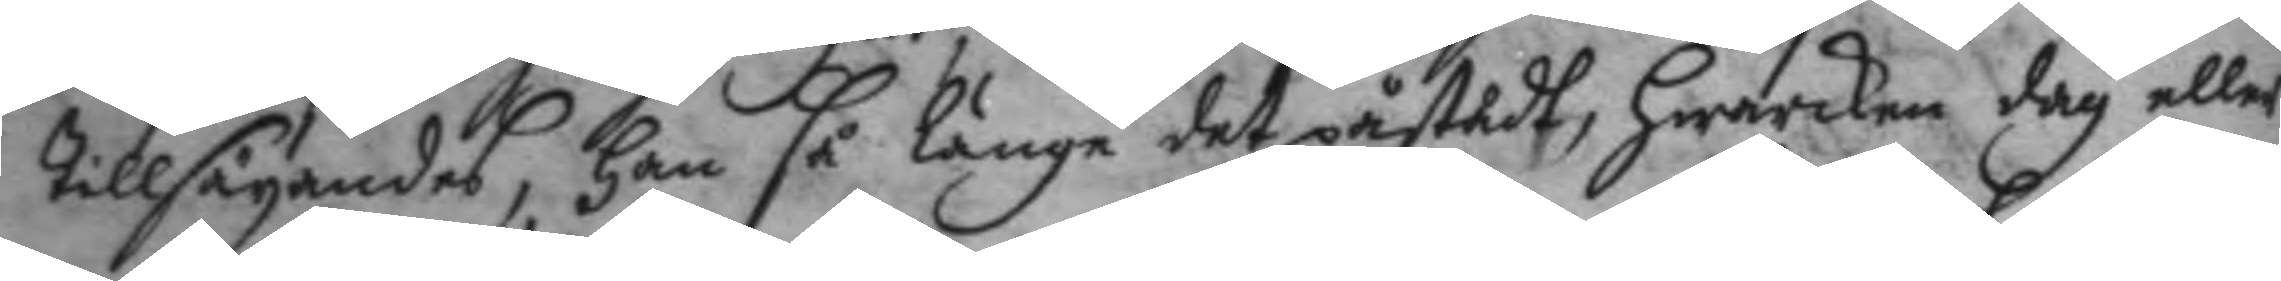tillsägandes, han så länge det påstedt, Hwarken dag eller
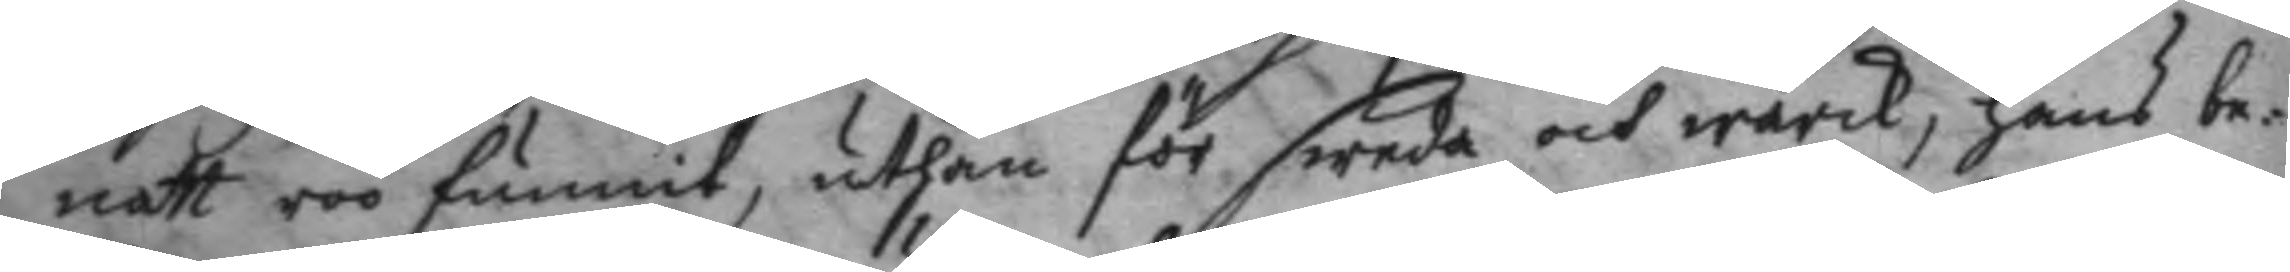natt roo funni, uthan för sweda och wärk, Hans be¬
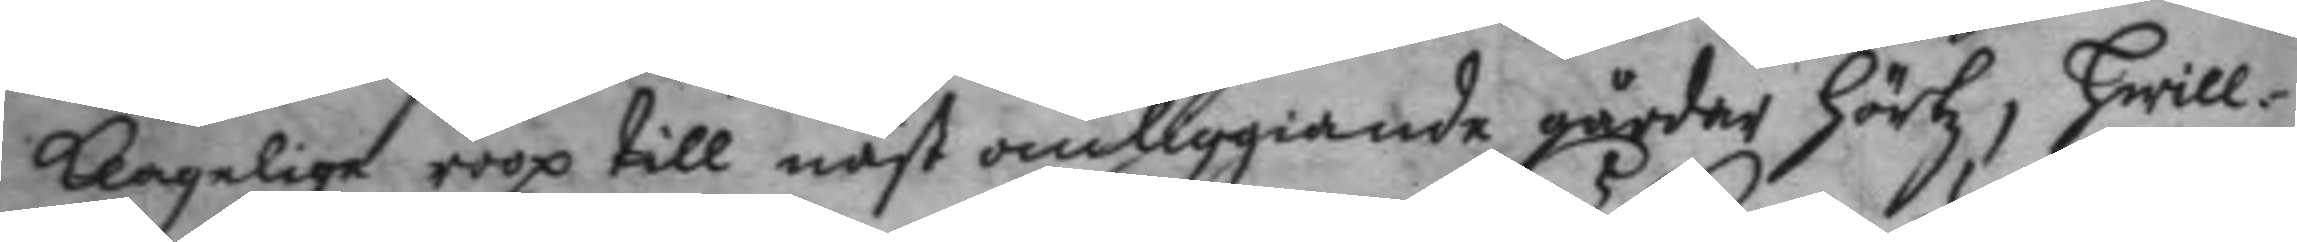klagelige roop till näst omliggande gårdar Hörtz, Hwill¬
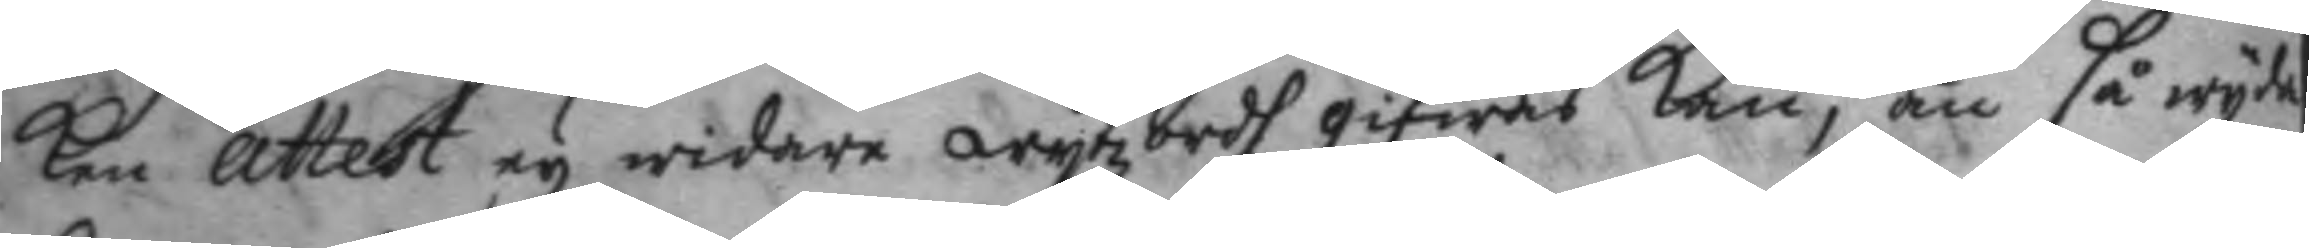ken attest ey widare wytzordh gifwas kan, än så wyda
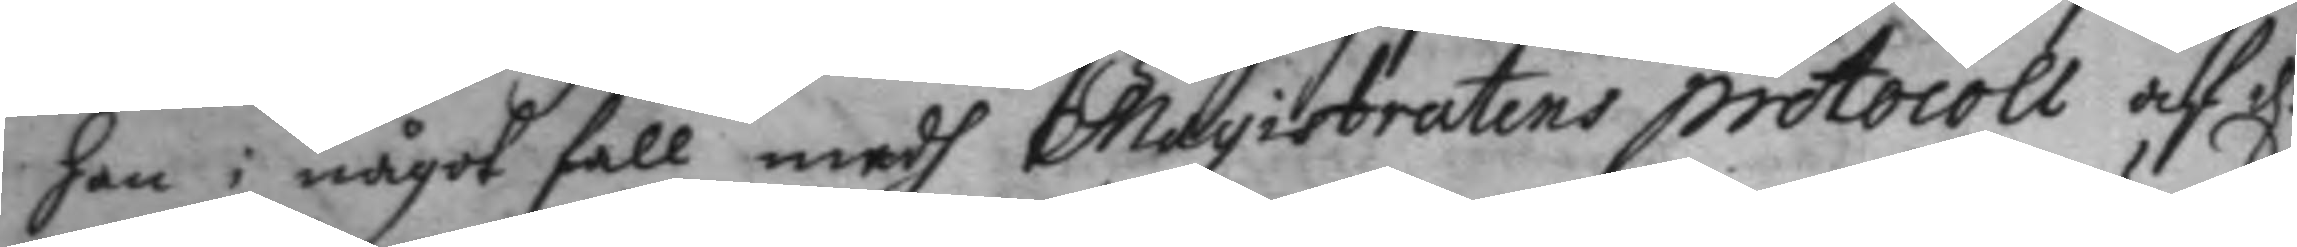han i något fall medh Magistratens protocoll af d:
